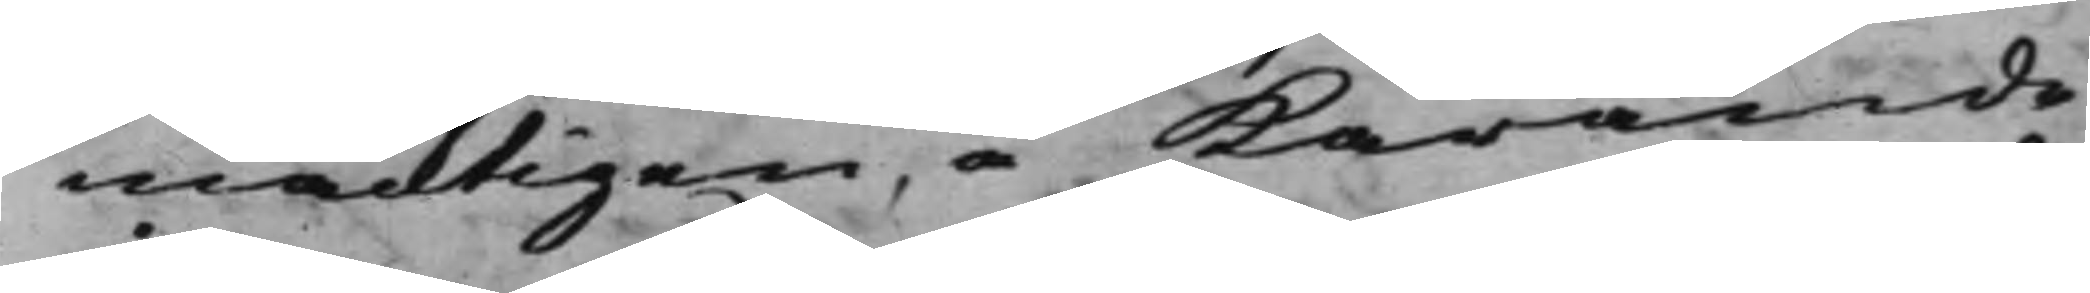mäcktigen å Kärande¬
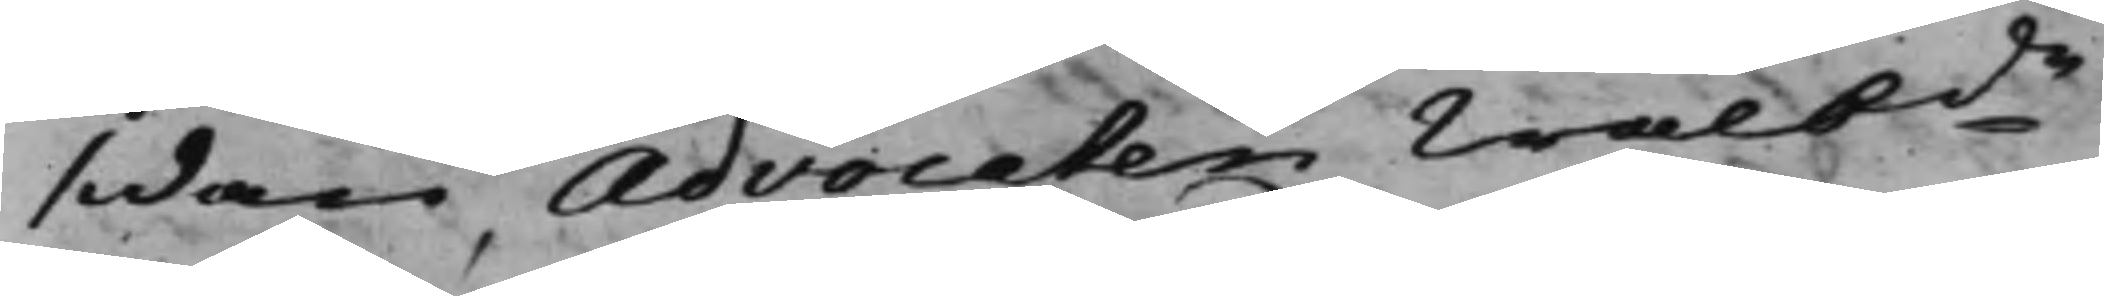sidan Advocaten Wälbde
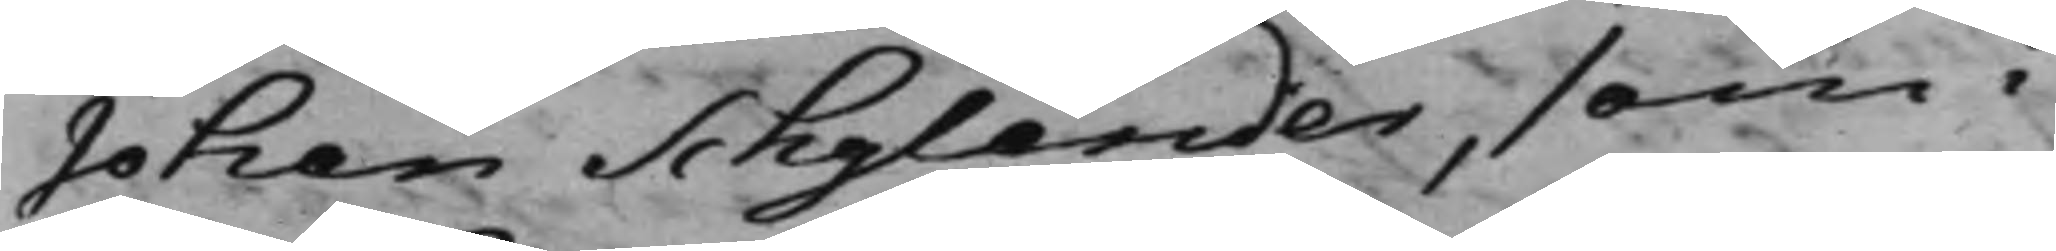Johan Schylander, som i
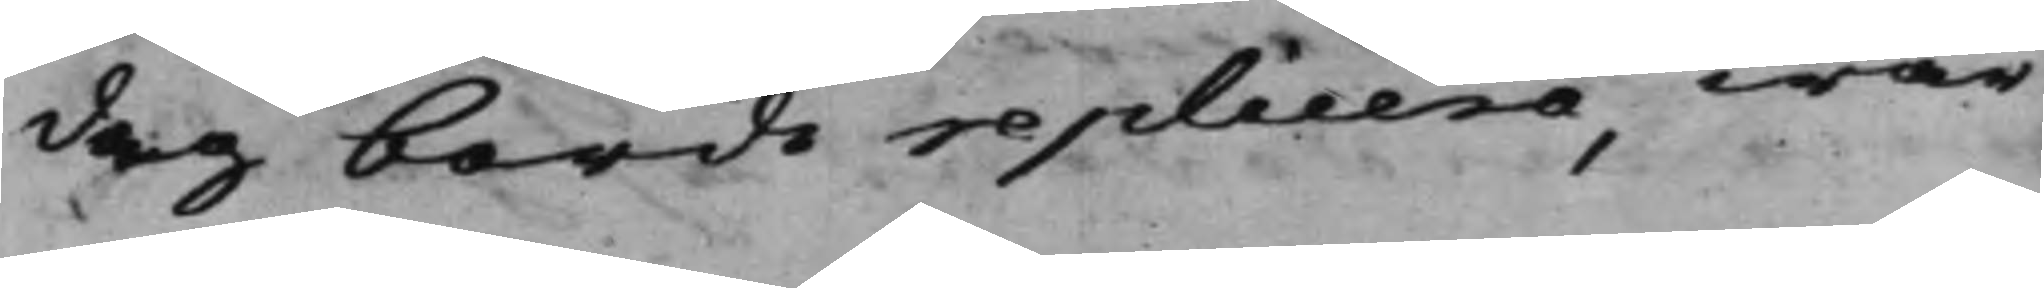dag borde replicera, war
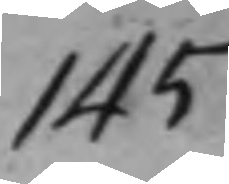145
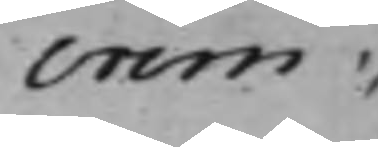crim:
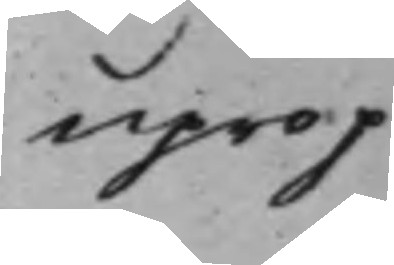uprop
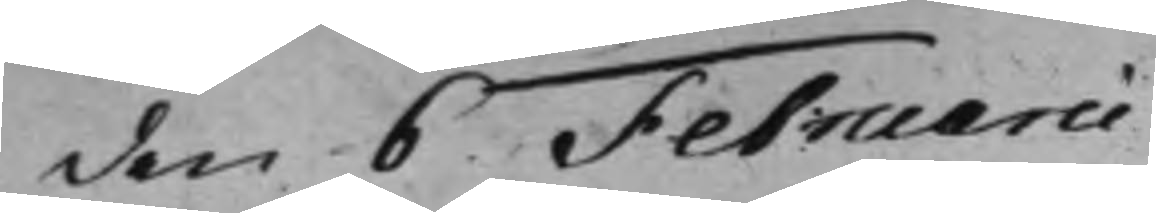den 6 Februarii
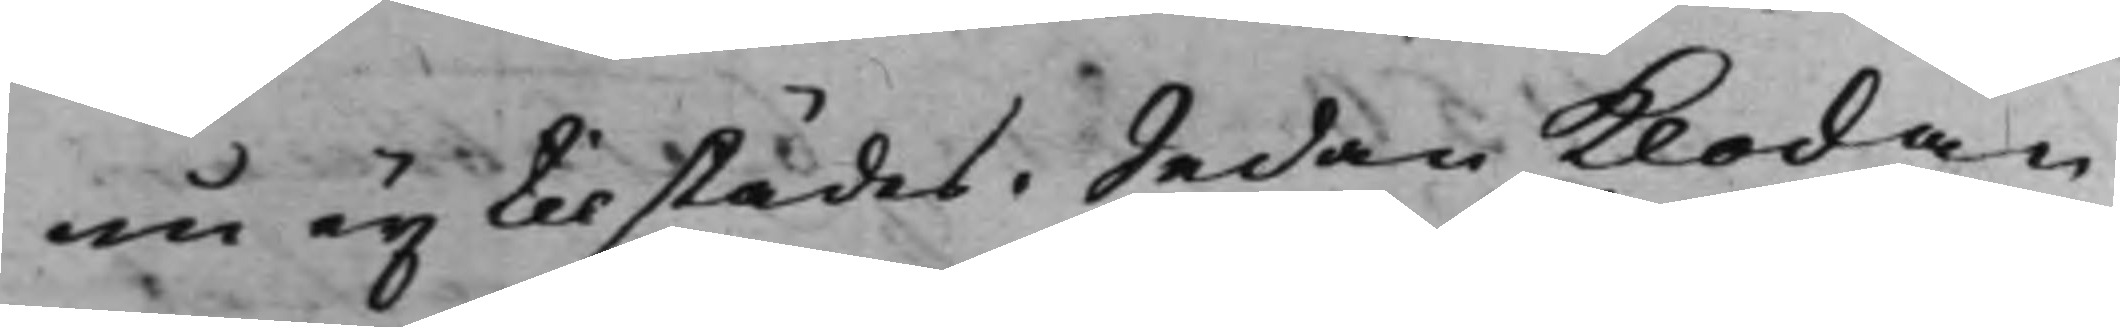nu ey tilstädes; Sedan Klockan
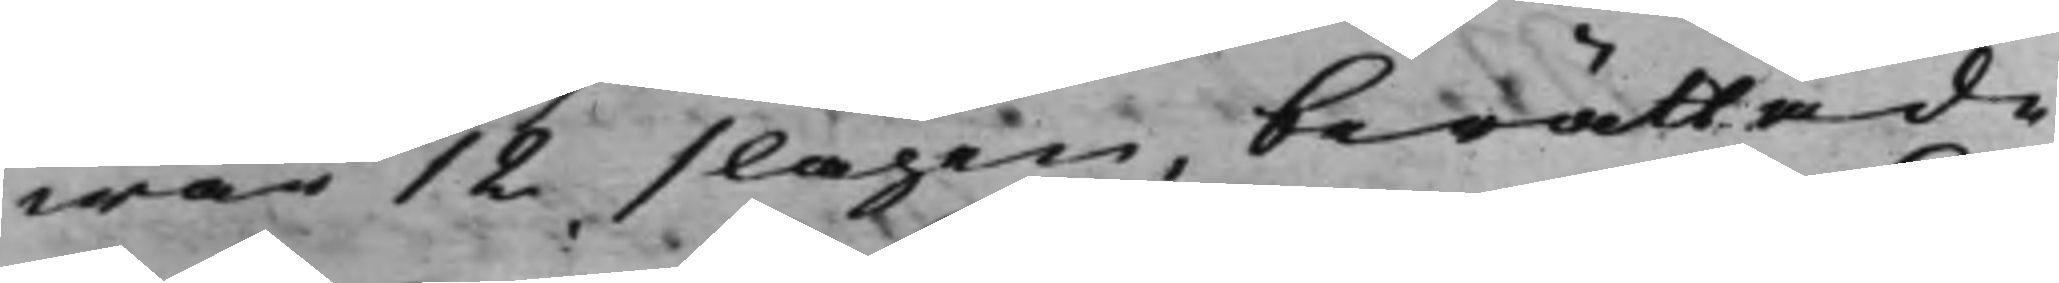war 12 slagen, berättade
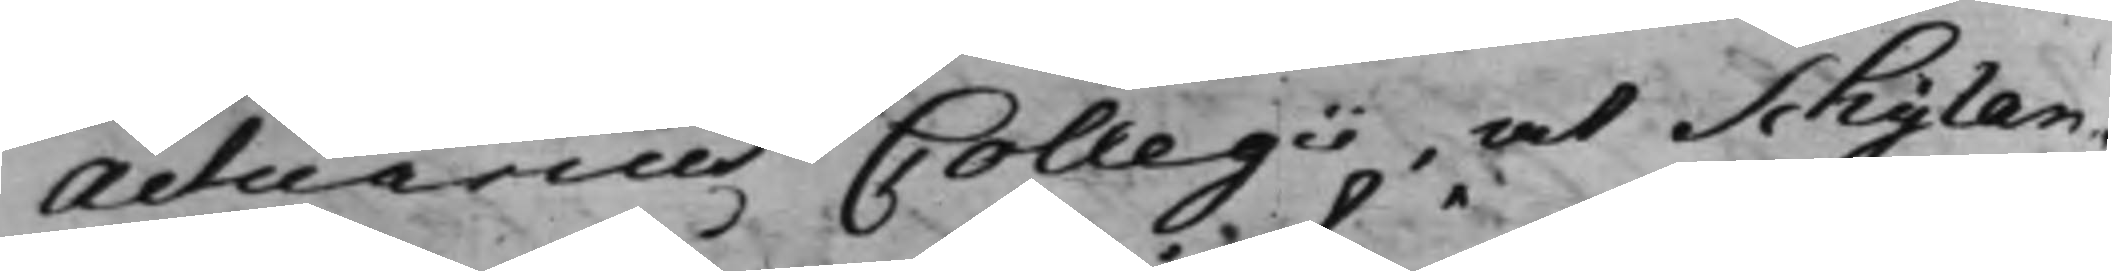Actuarius Collegii, at Schylan¬
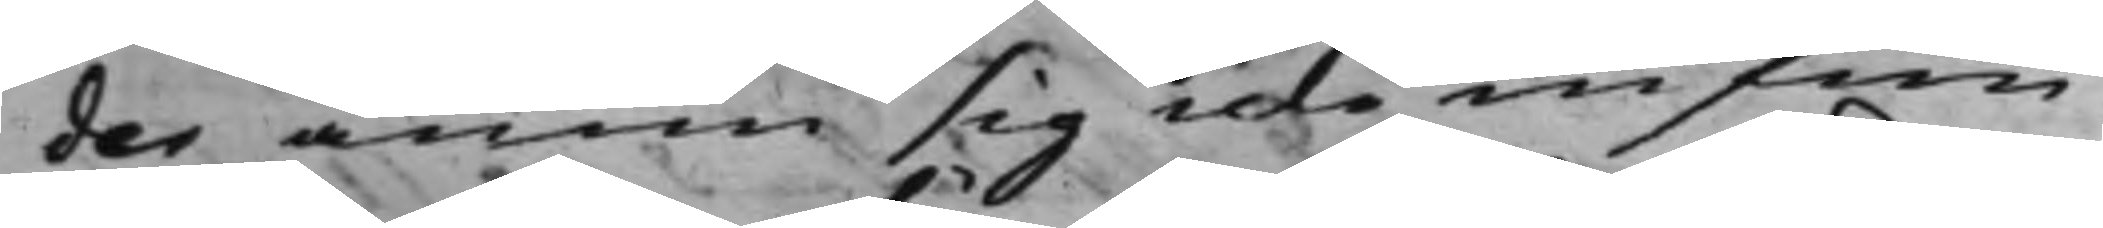der ännu sig icke infun¬
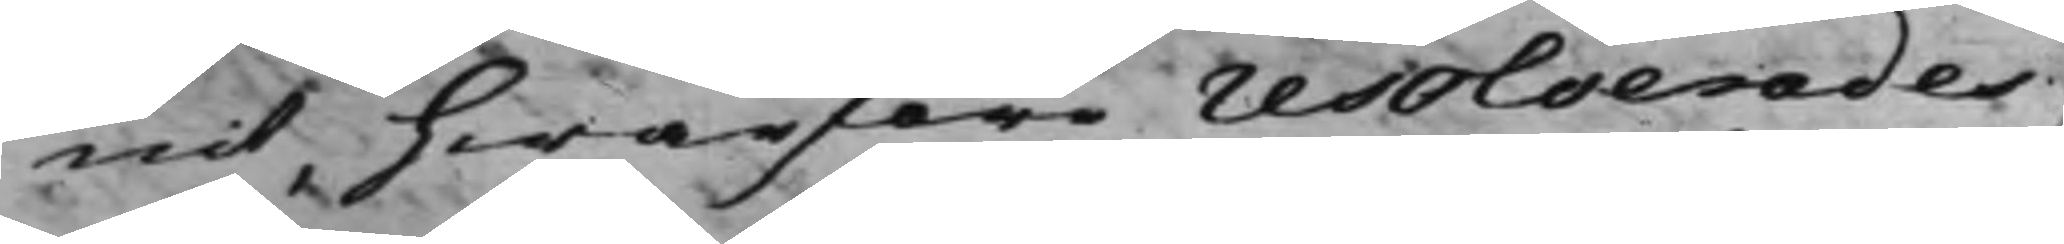nit, hwarföre resolverades
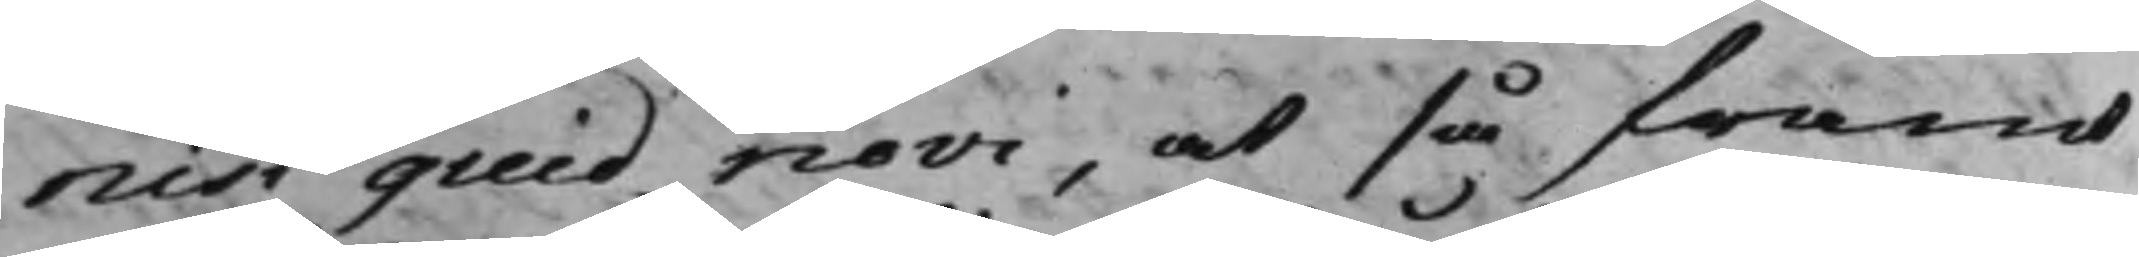nisi quid novi, at så framt
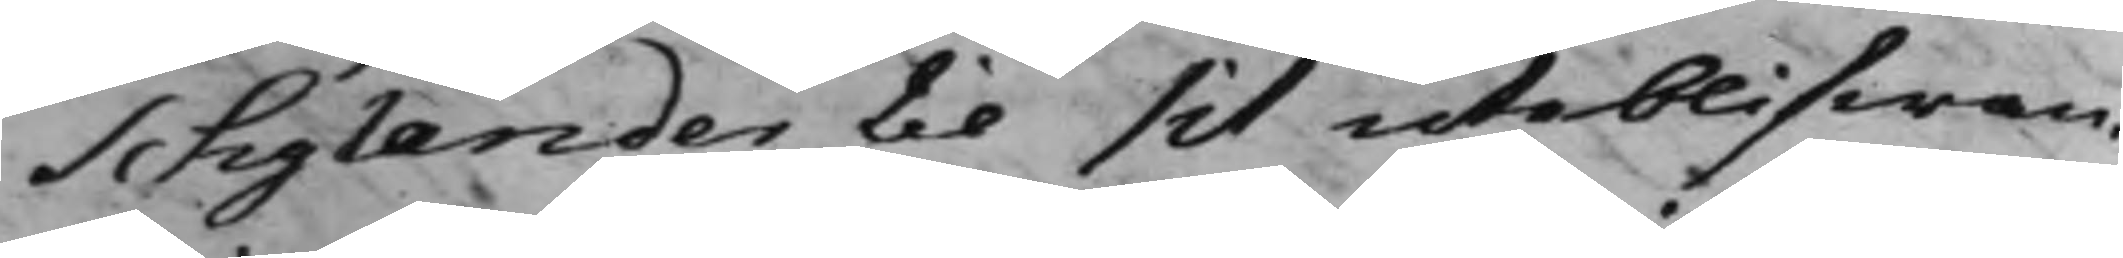Schylander til sit uteblifwan¬
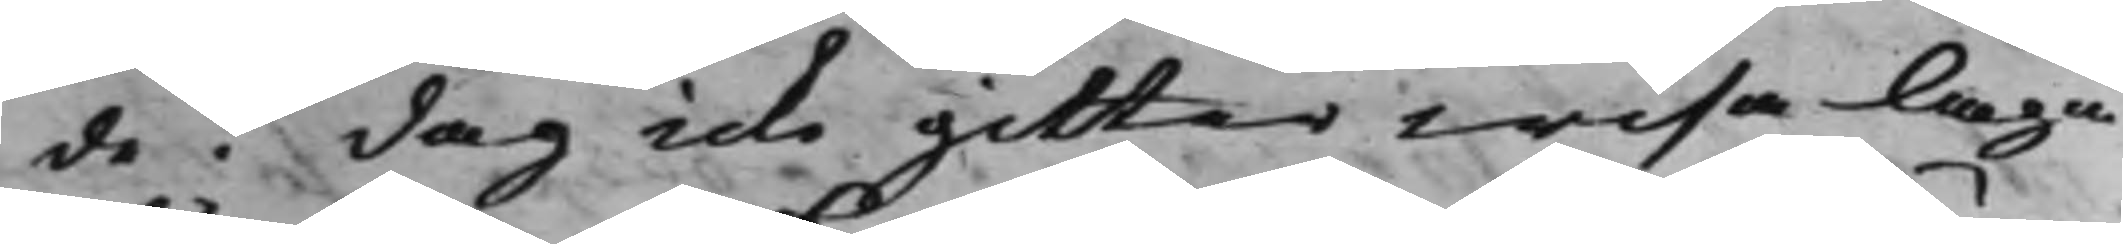de i dag icke gitter wisa laga
